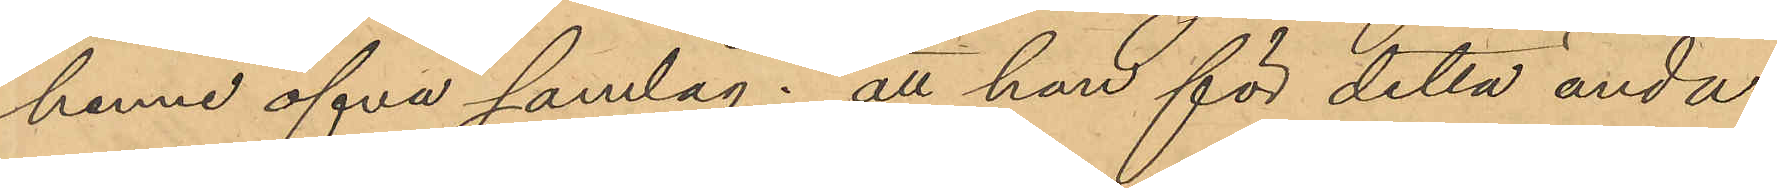henne öfva samlag; att hon för detta ända¬
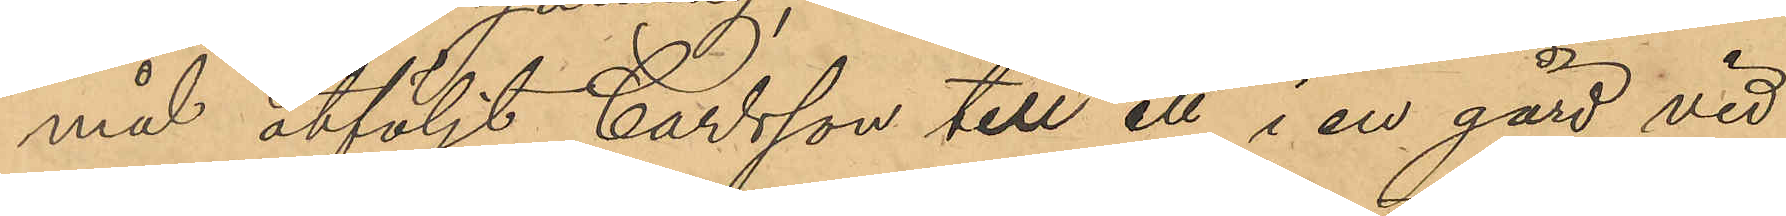mål åtföljt Carlsson till ett i en gård vid
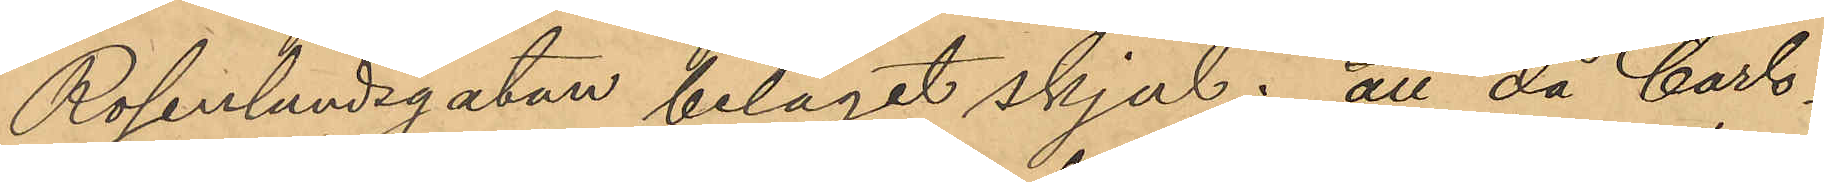Rosenlundsgatan beläget skjul; att då Carls¬
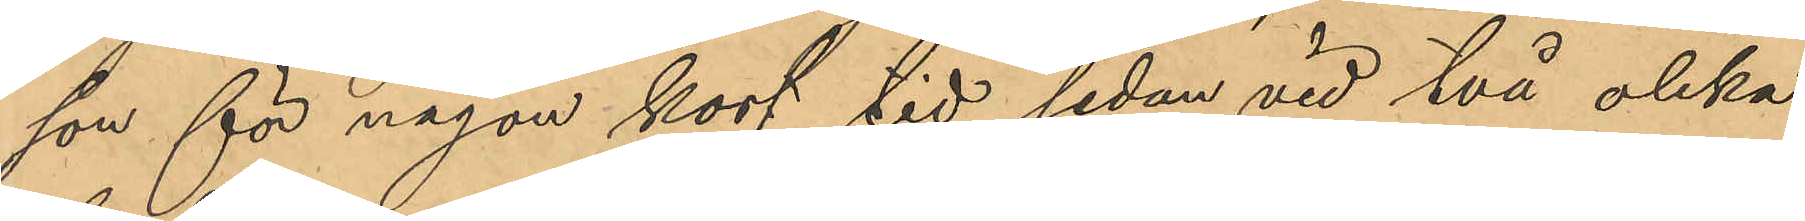son för någon kort tid sedan vid två olika
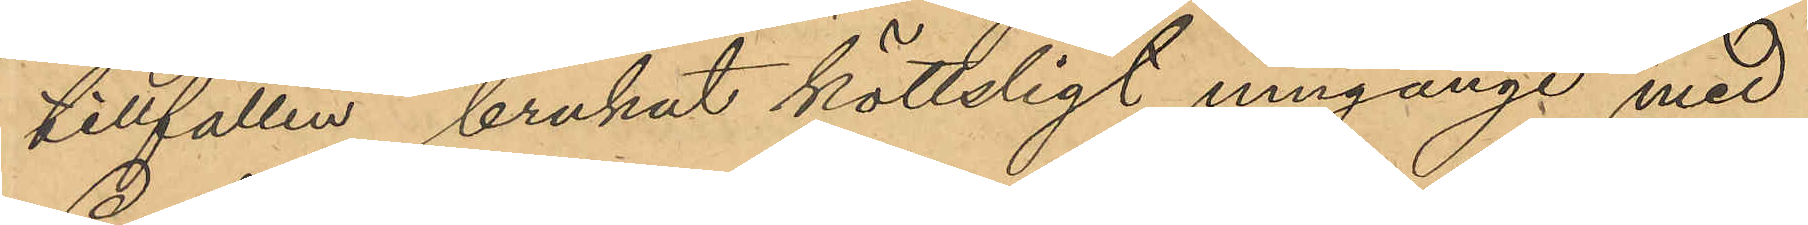tillfällen, brukat köttsligt umgänge med
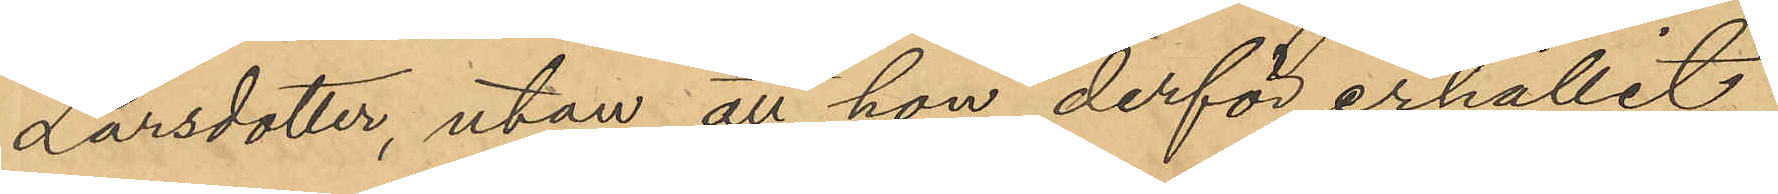Larsdotter, utan att hon derför erhållit
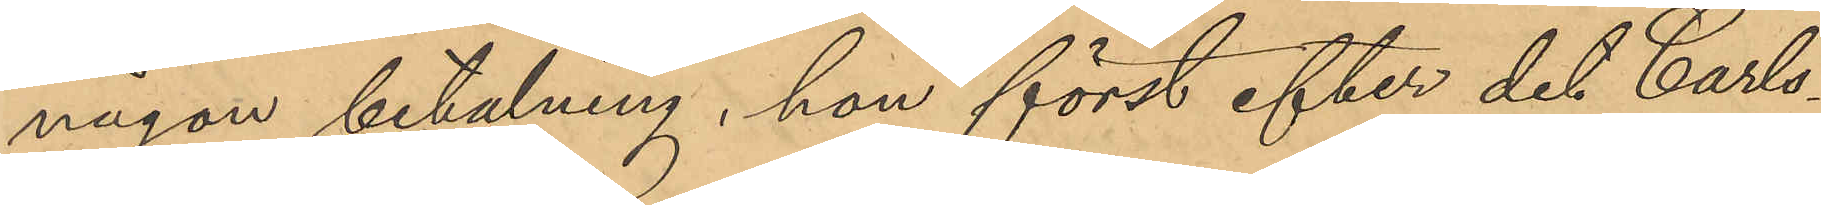någon betalning, hon först efter det Carls¬
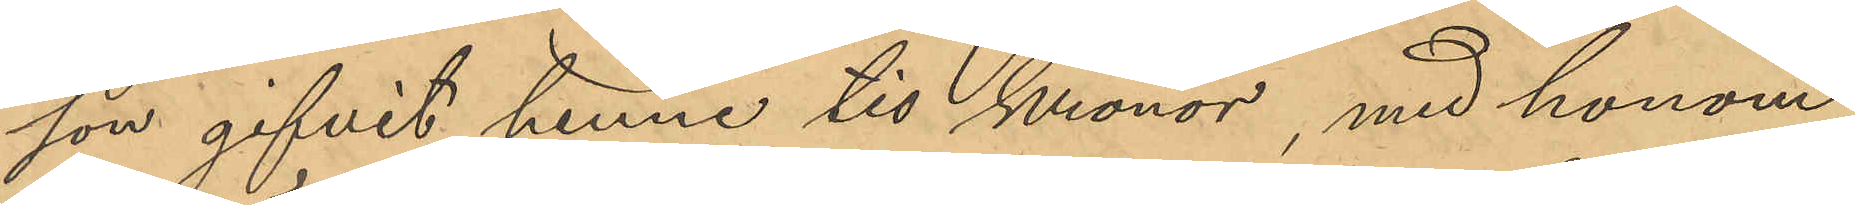son gifvit henne tio kronor, med honom
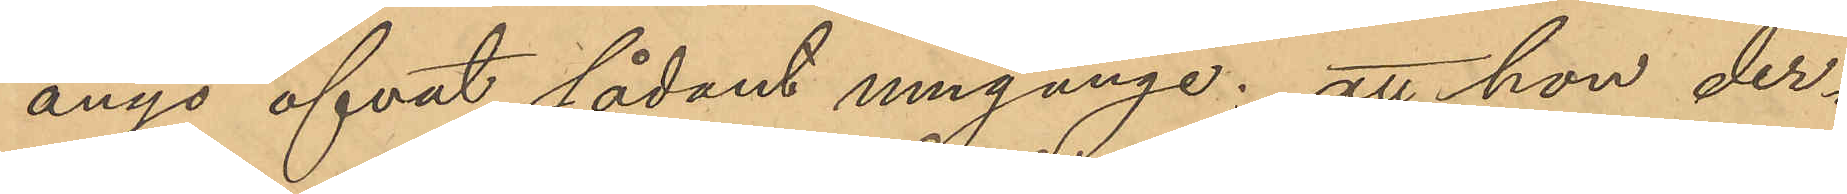ånyo öfvat sådant umgänge; att hon der¬
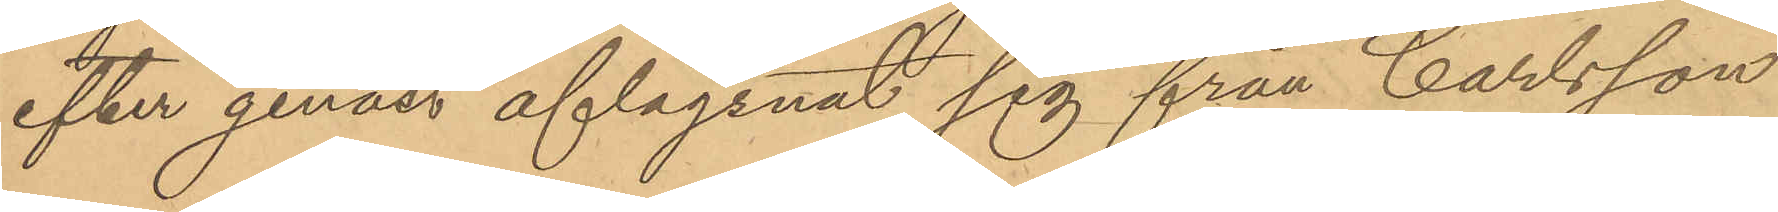efter genast aflägsnat sig från Carlsson
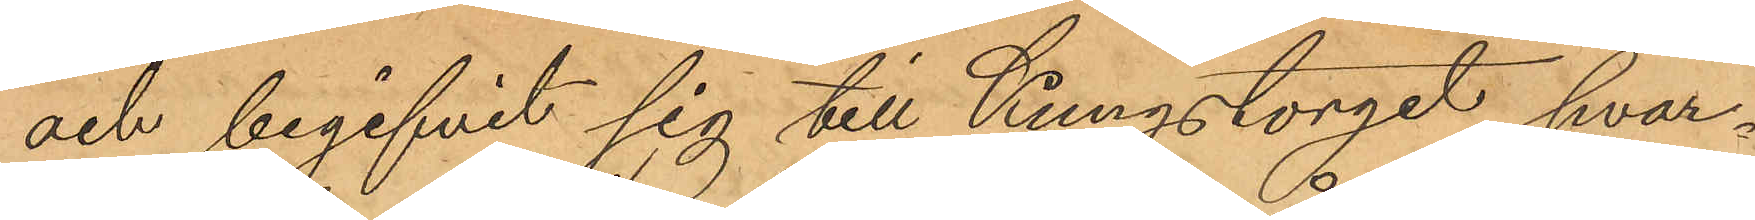och begifvit sig till Kungstorget, hvar¬
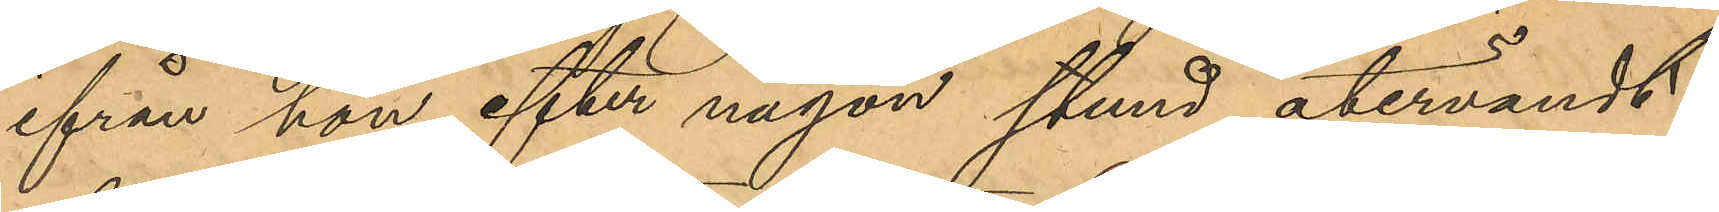ifrån hon efter någon stund återvändt
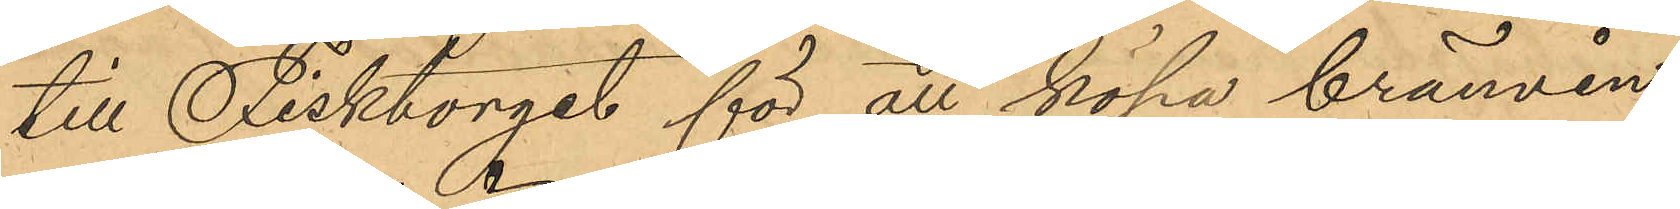till Fisktorget för att köpa brännvin,
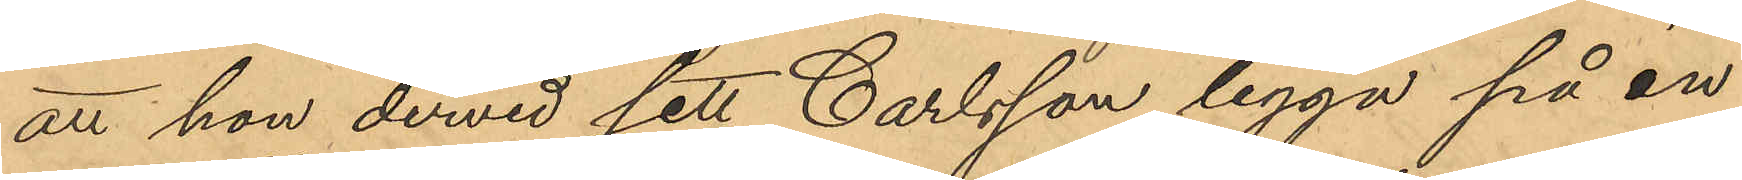att hon dervid sett Carlsson ligga på en
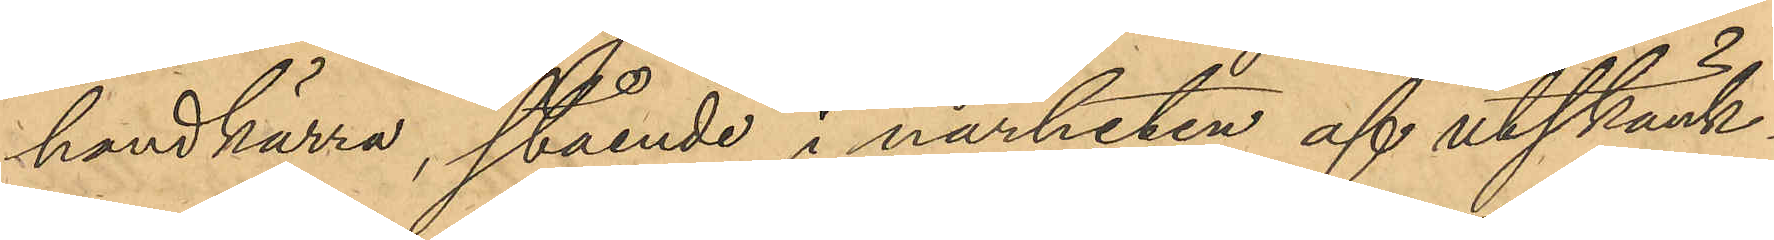handkärra, stående i närheten af utskänk¬
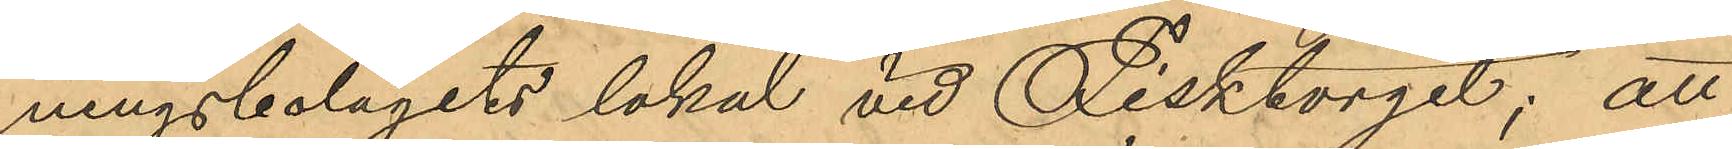ningsbolagets lokal vid Fisktorget; att
